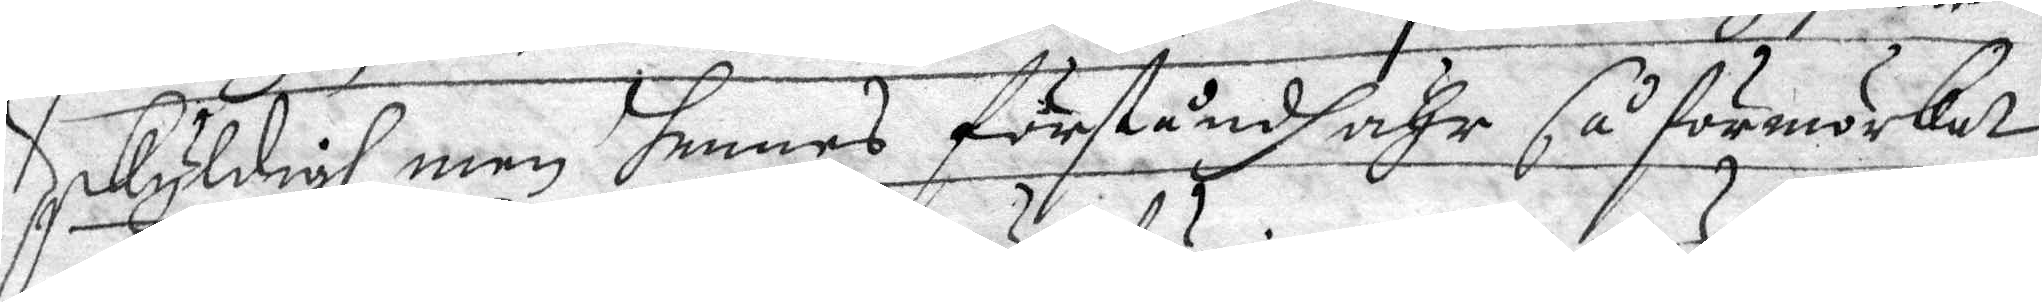skyödigh, men hennes förståndh ähr så förmörkat
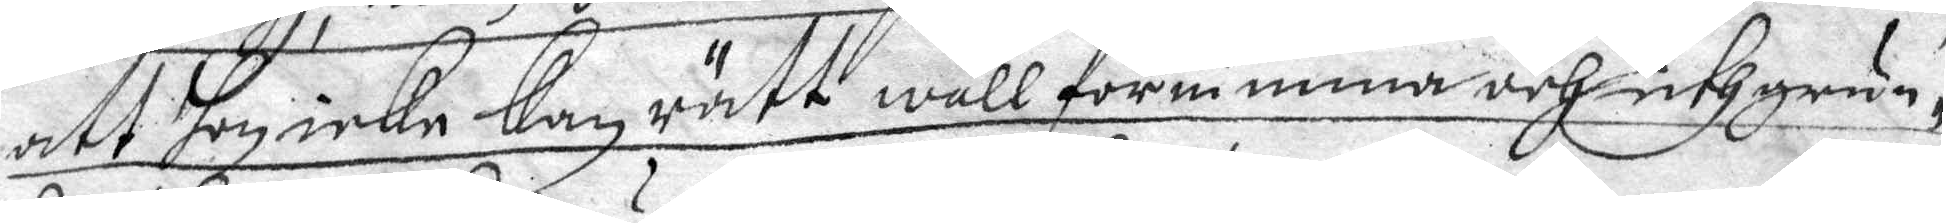att hon icke kan rätt wäll förnimma och uthgrun¬
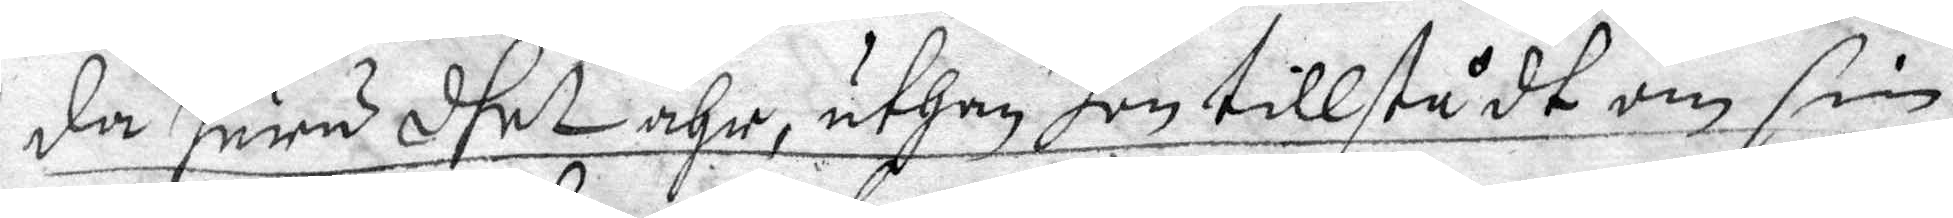da huru dhet ähr, uthan hon tillstådt om sin
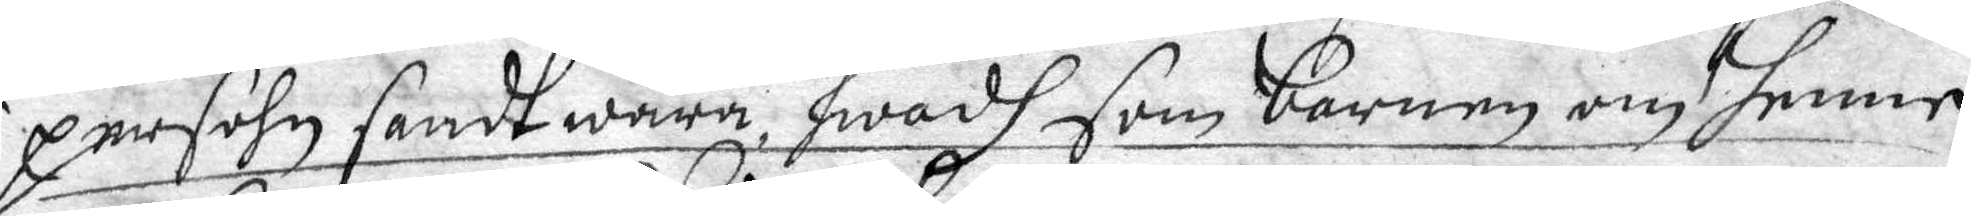persohn sandt wara, hwad som barnen om henne
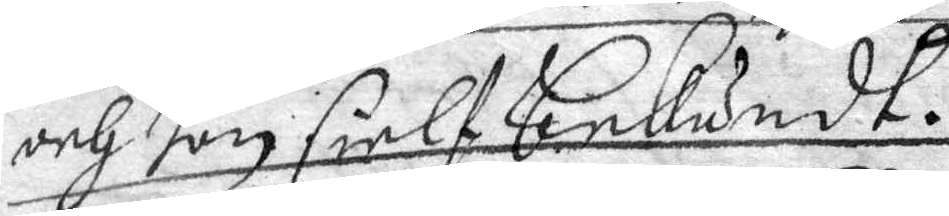och hon sielf bekändt.
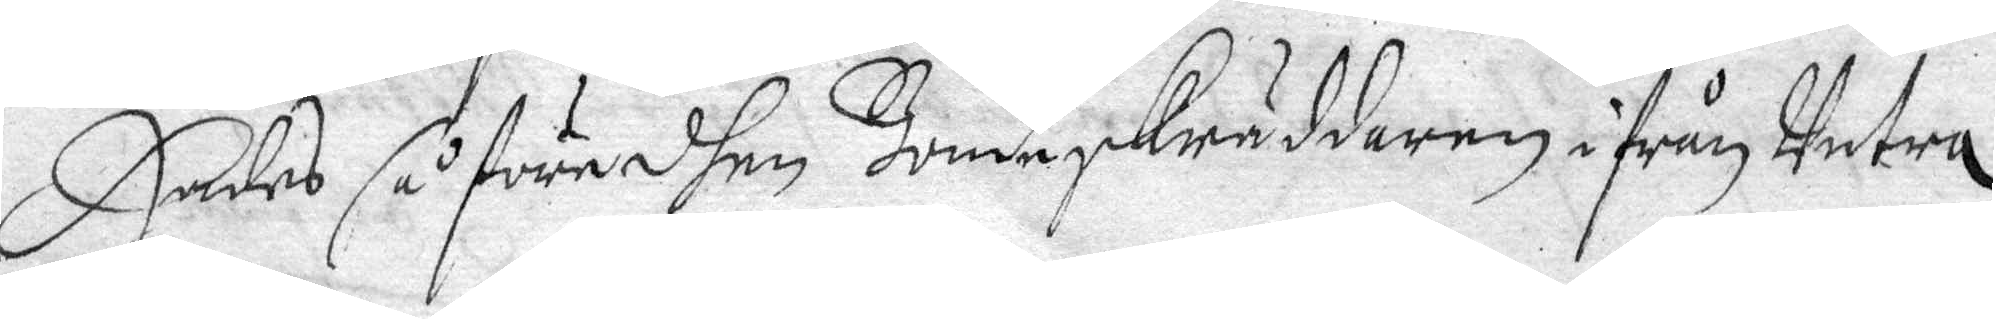Hades så före dhen Bondeskräddaren ifrån Untra
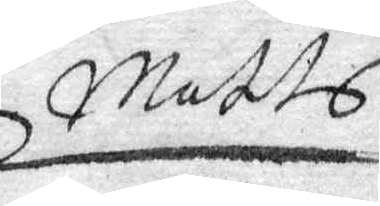Matts
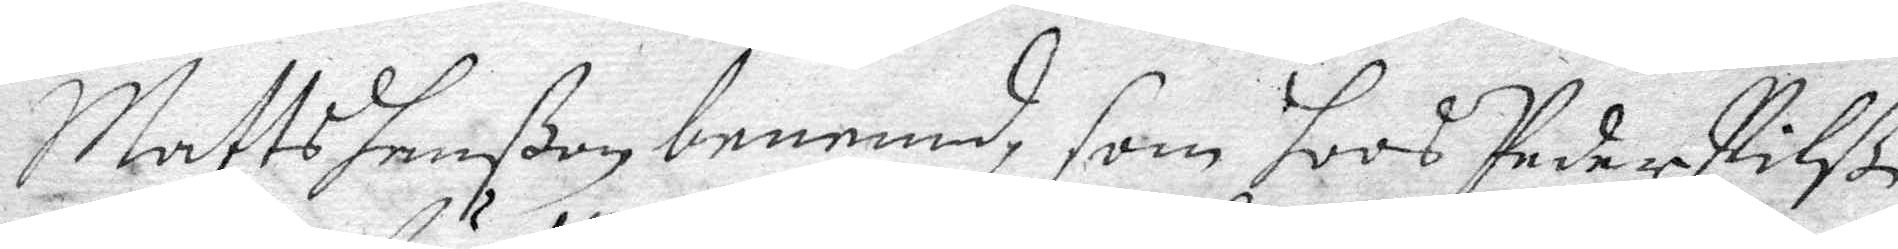Matts hanßon benemd, som hoos Peder Nilß
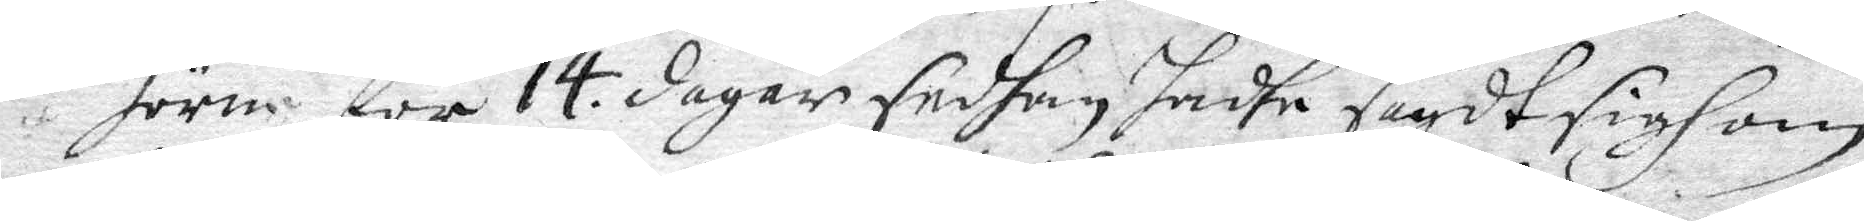höre för 14 dagar sedhan hadhe sagdt sigh om
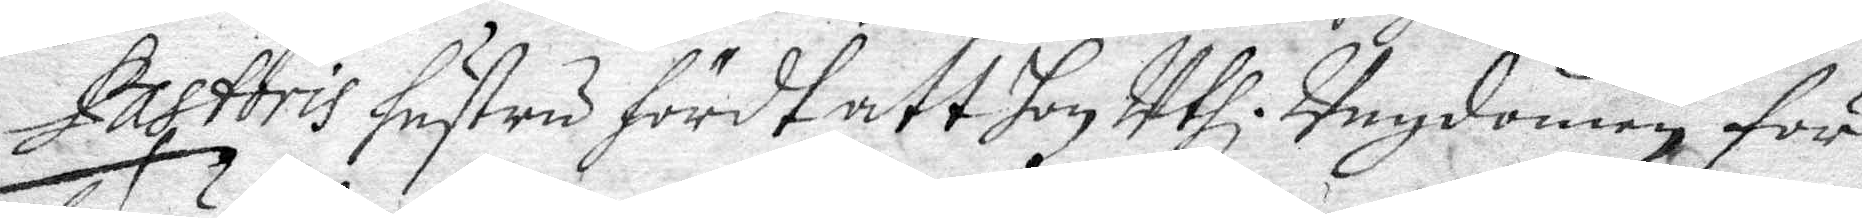Pastoris hustru hördt att hon Uthi Ungdomen för
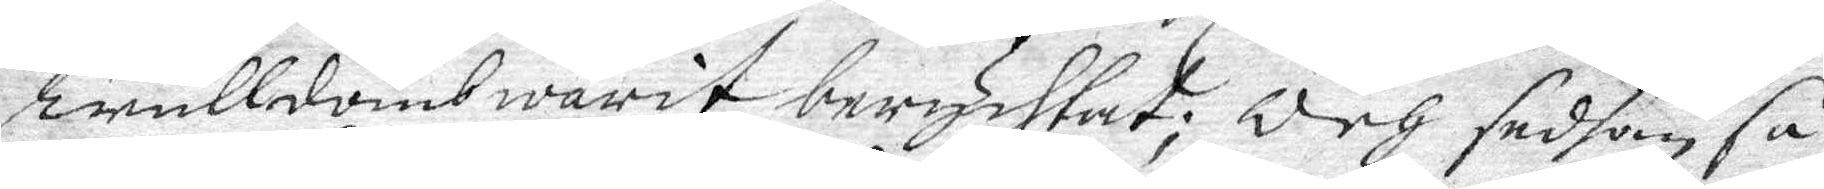Trulldomb warit berychtat; Och sedhan så¬
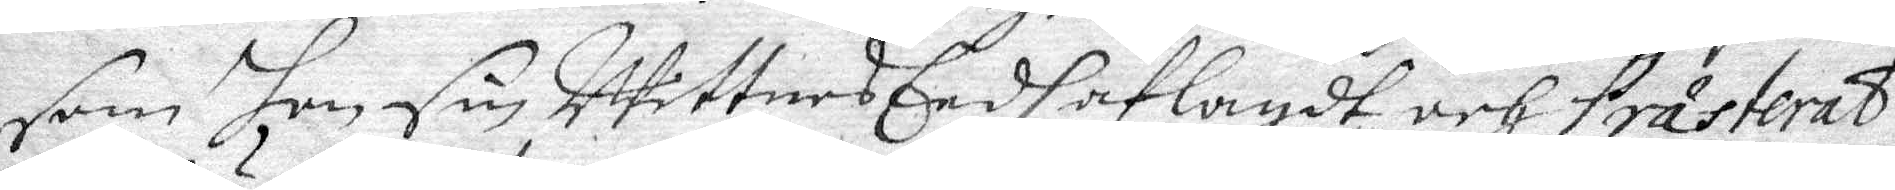som han sim WittnesEedh aflagdt och Prästerat
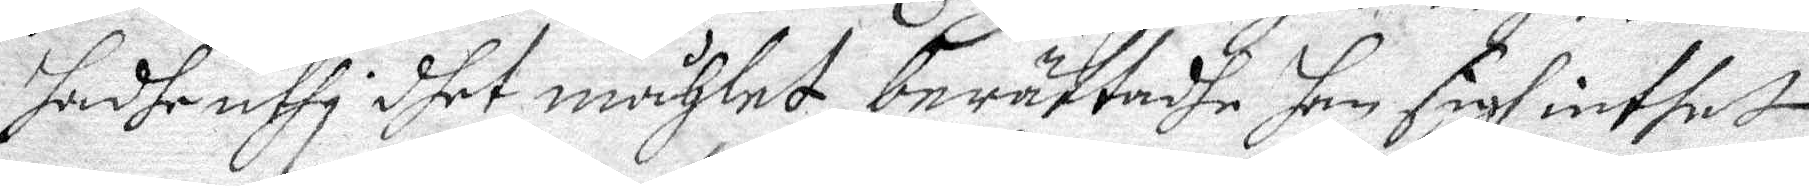sadhe uthi dhet måhlet berättadhe han sigh intet
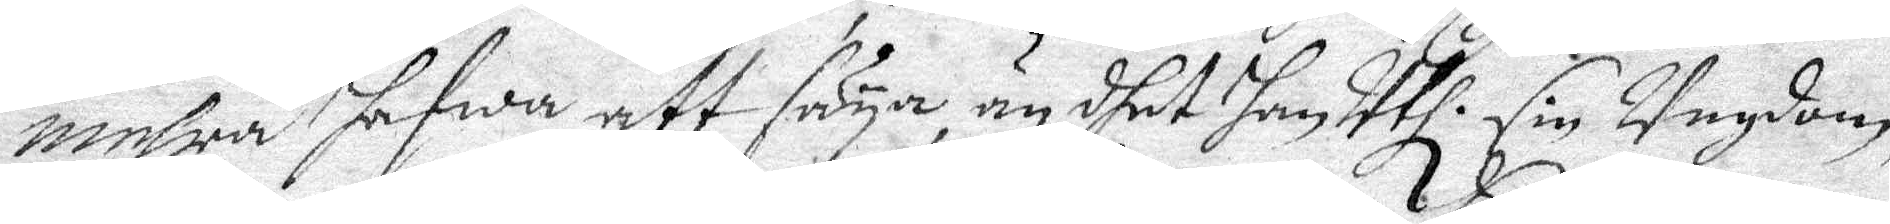mehra hafwa att säya, än dhet han Uthi sin Ungdom,
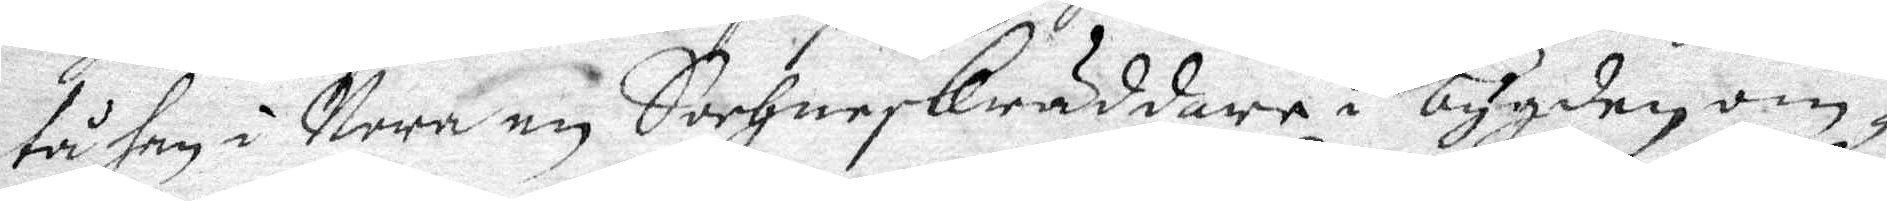tå han i Nora en Sochneskräddare i bygden om¬
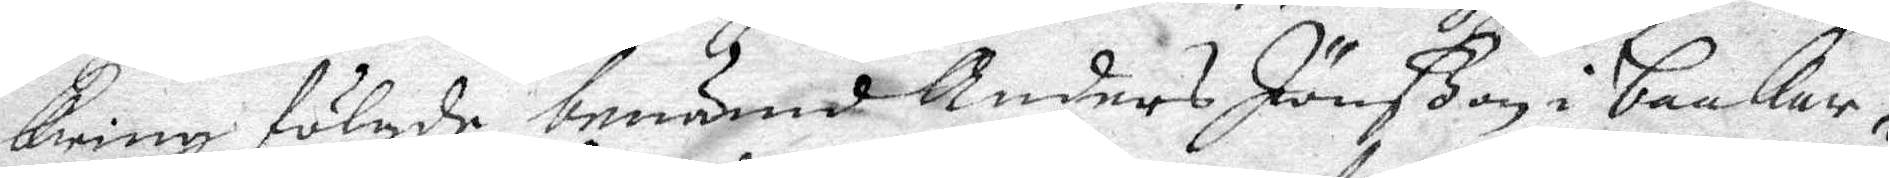kring fölgde, benämnd Anders Jonßon i backar¬
